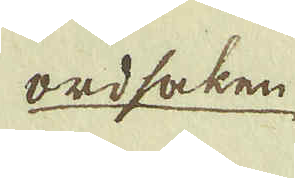ordsaken
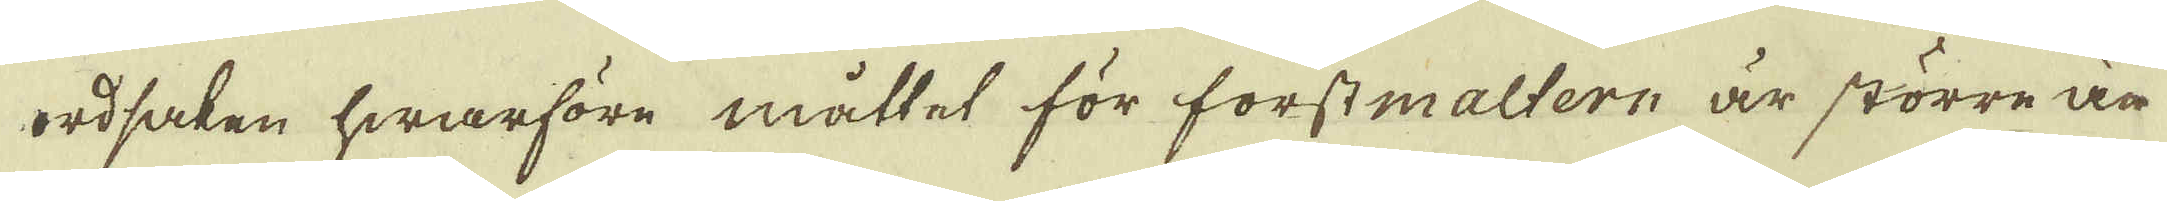ordsaken hwarföre måttet för forstmaltern är större än
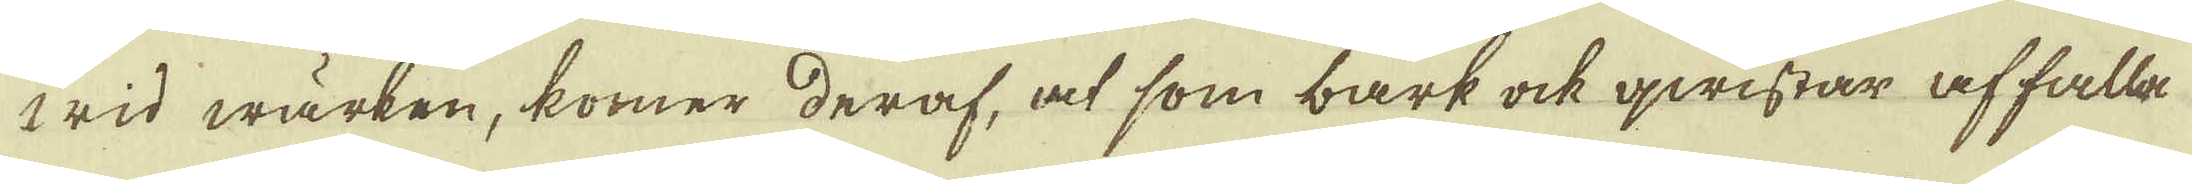wid wärken, kommer deraf, at som bark ock qwistar affalla
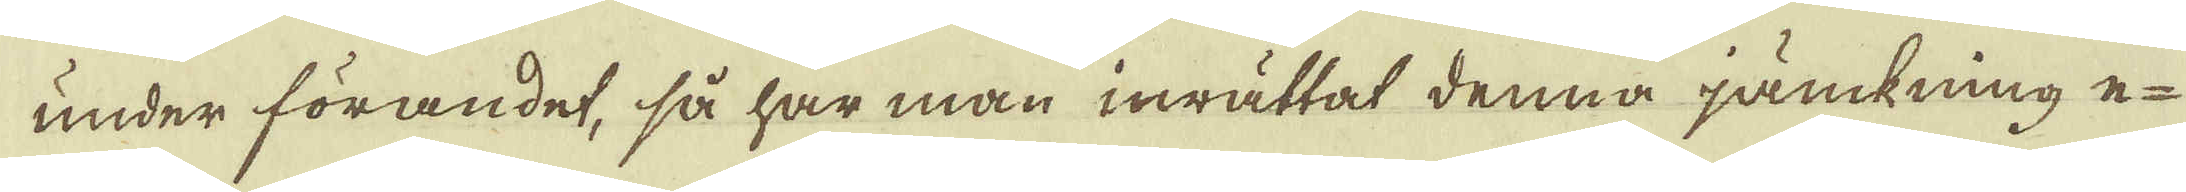under förandet, så har man inrättat denna jämkning e-
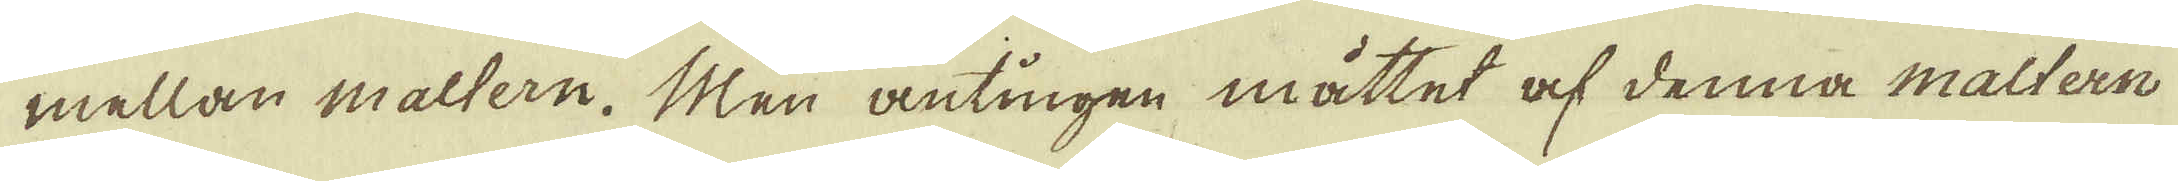mellan maltern. Men antingen måttet af denna maltern
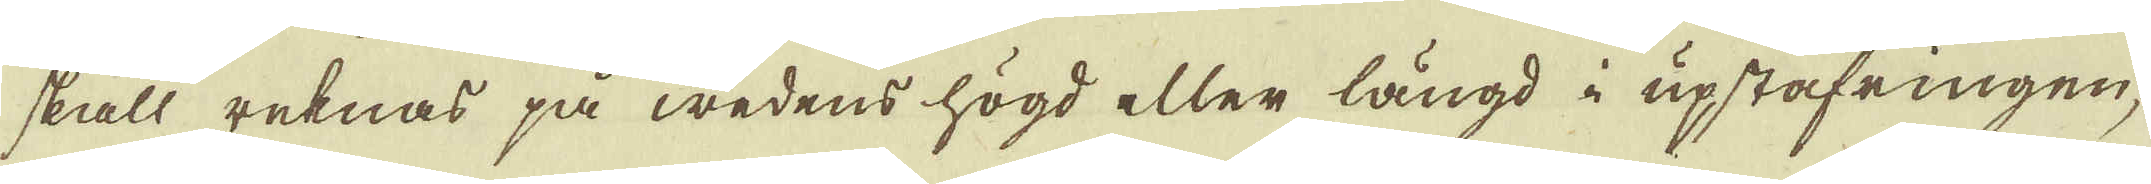skall reknas på wedens högd eller längd i upstafringen;
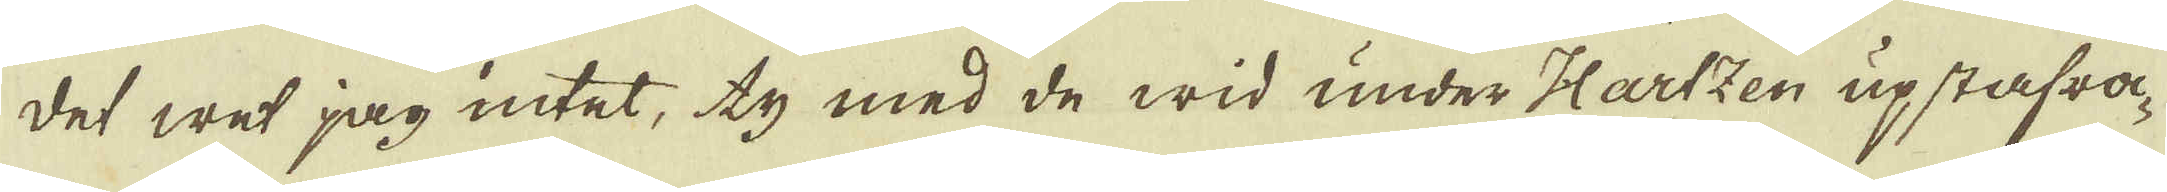det wet jag intet; ty med de wid under Hartzen upstafra-
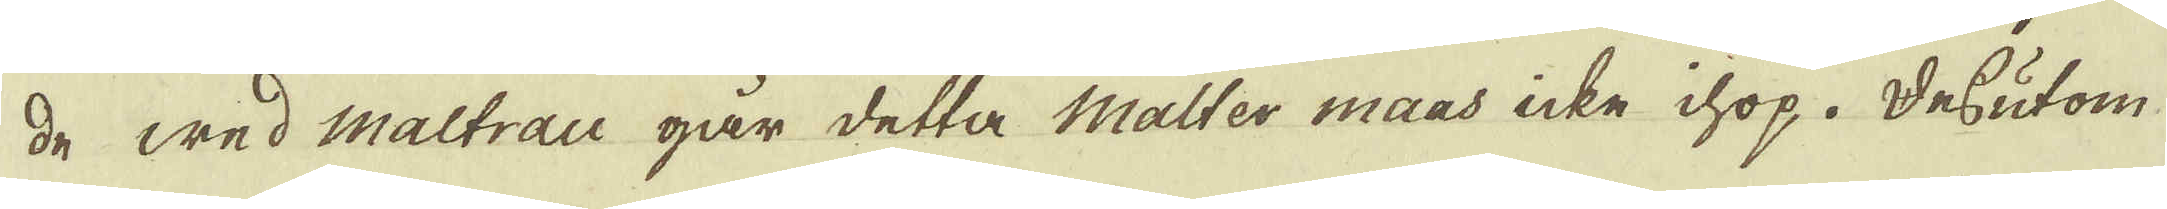de wed maltrau går detta Malter maas icke ihop. Dessutom
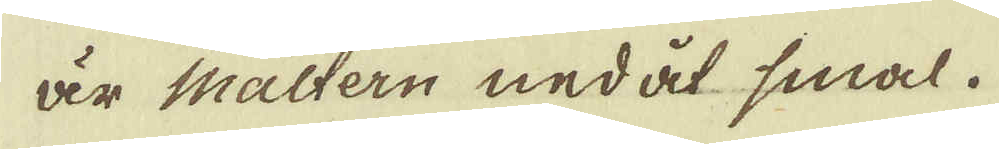är maltern nedåt smal.
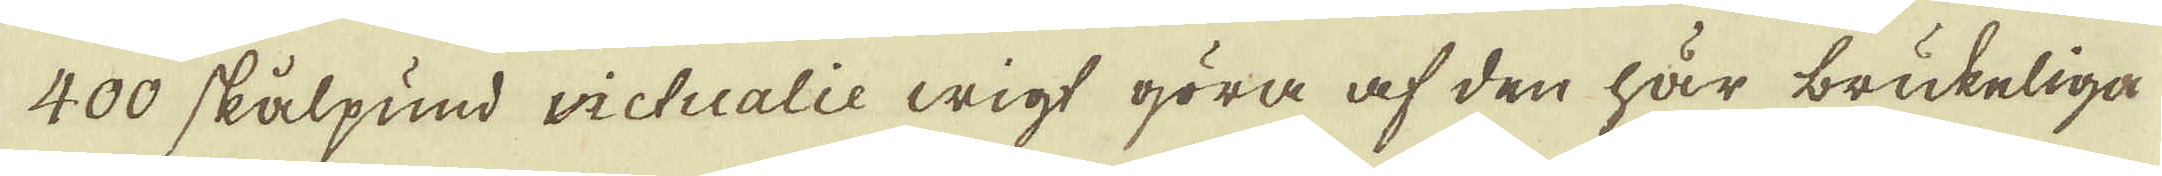400 skålpund wictualie wigt göra af den här brukeliga
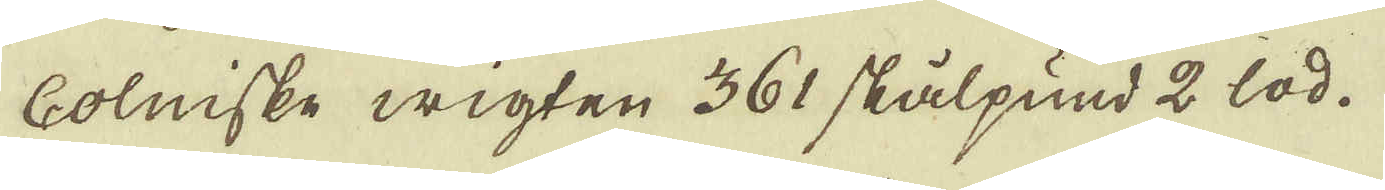Colniske wigten 361 skålpund 2 lod.
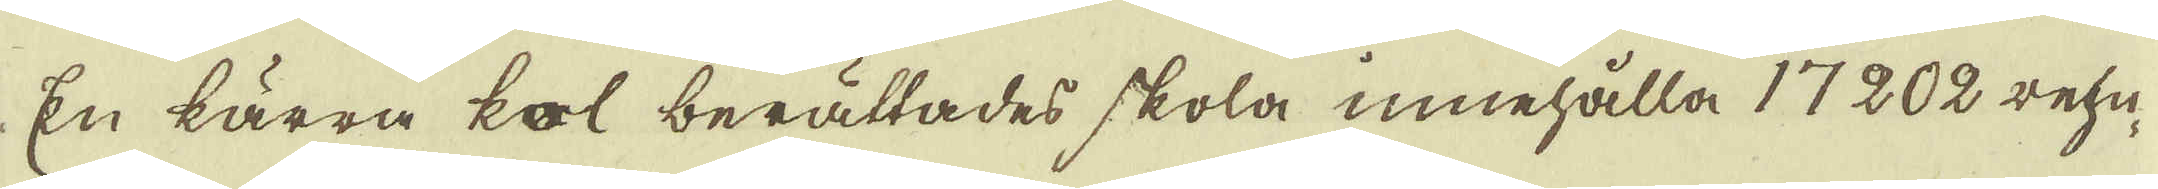En kärra kol berättades skola innehålla 17202 rehn-
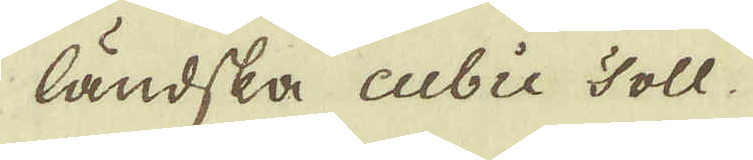ländska cubie Toll
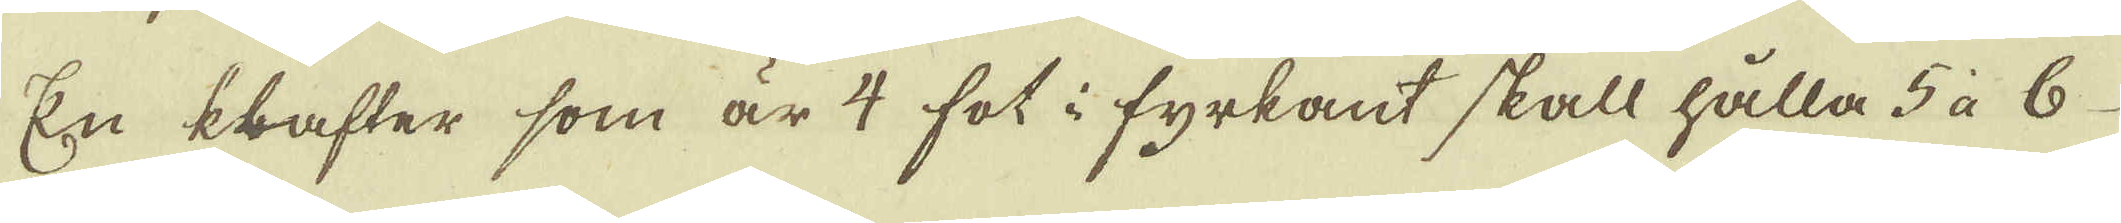En klafter som är 4 fot i fyrkant skall hålla 5 à 6
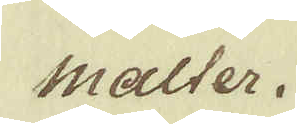malter.
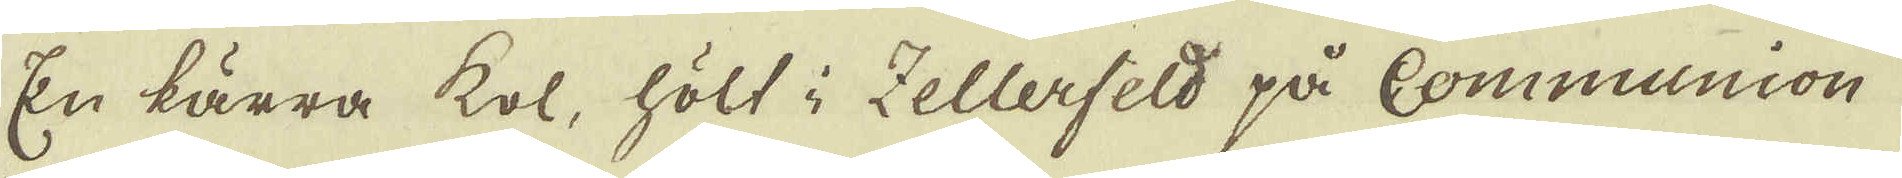En kärra kol, hölt i Zellerfeld på Communion
